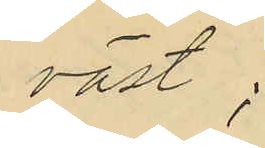väst;
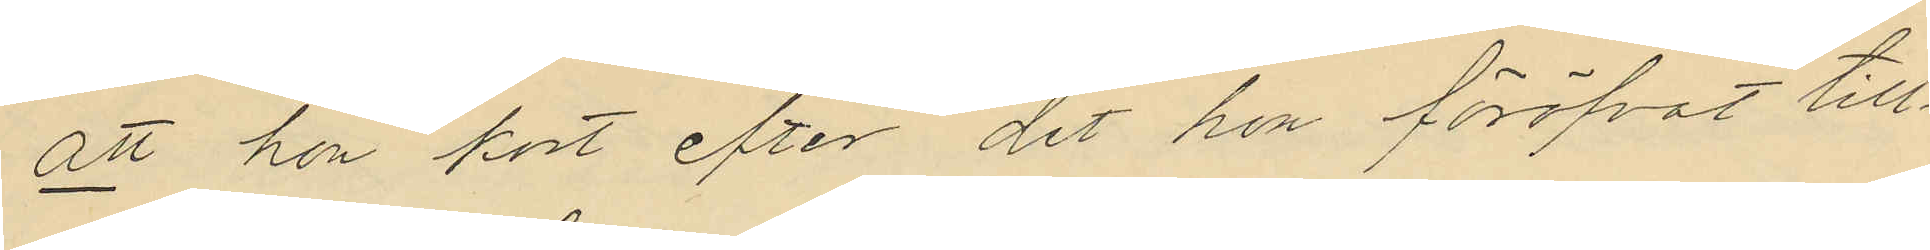att hon kort efter det hon föröfvat till¬
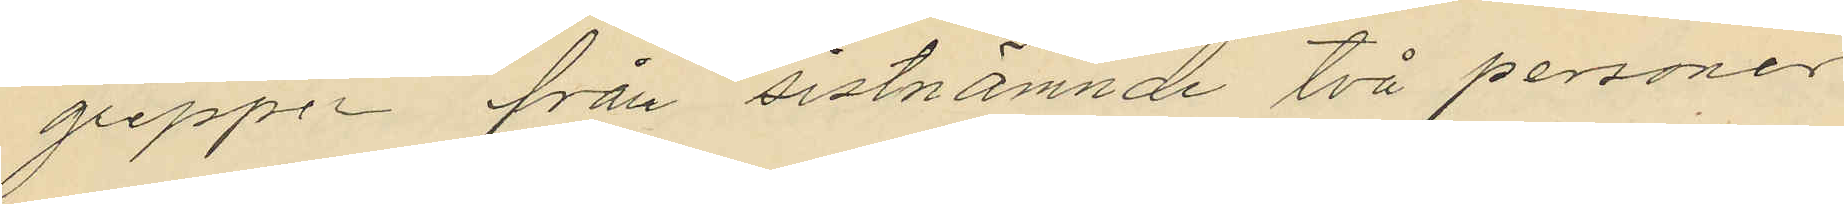greppen från sistnämnde två personer
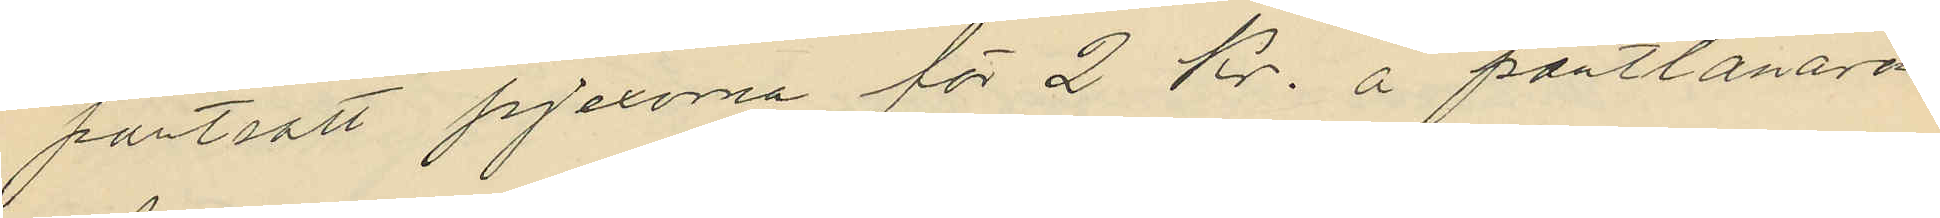pantsatt pjexorna för 2 Kr. å pantlånaren
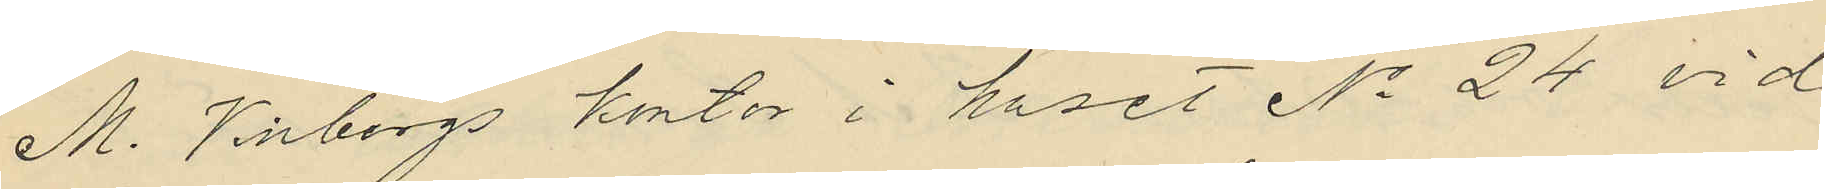M. Vinbergs kontor i huset No 24 vid
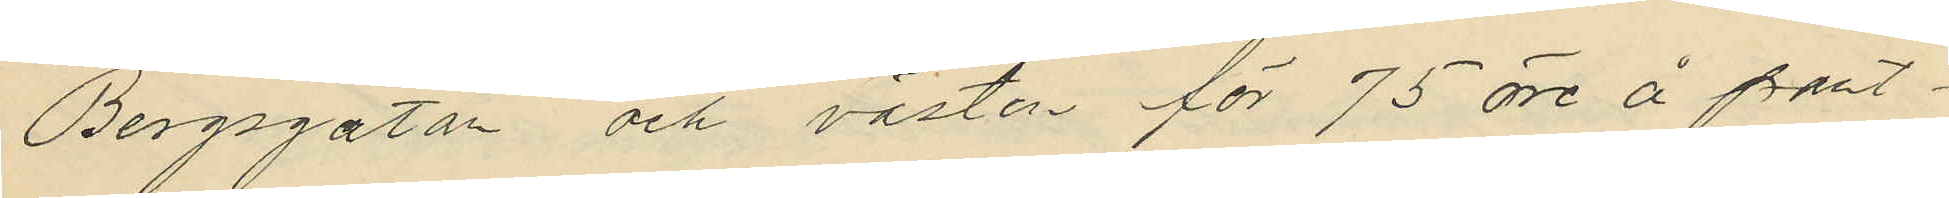Bergsgatan och västen för 75 öre å pant¬
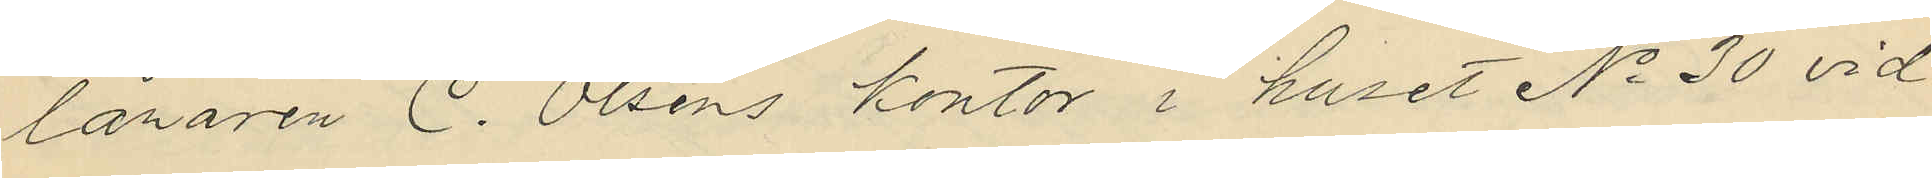lånaren C. Olséns kontor i huset No 30 vid
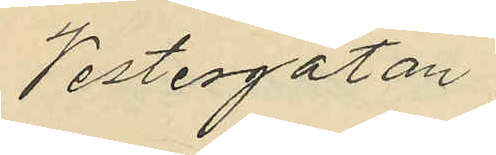Vestergatan;
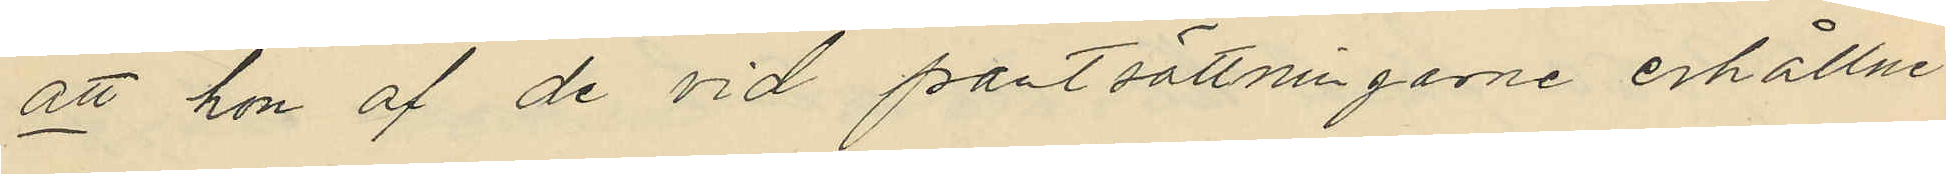att hon af de vid pantsättningarne erhållne
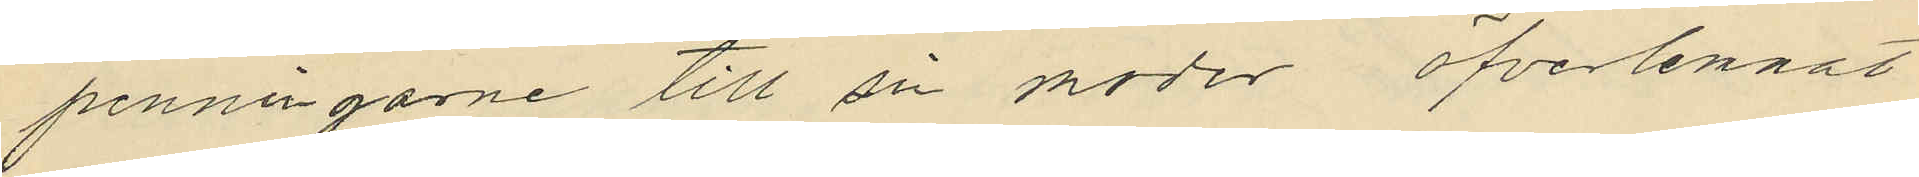penningarne till sin moder öfverlemnat
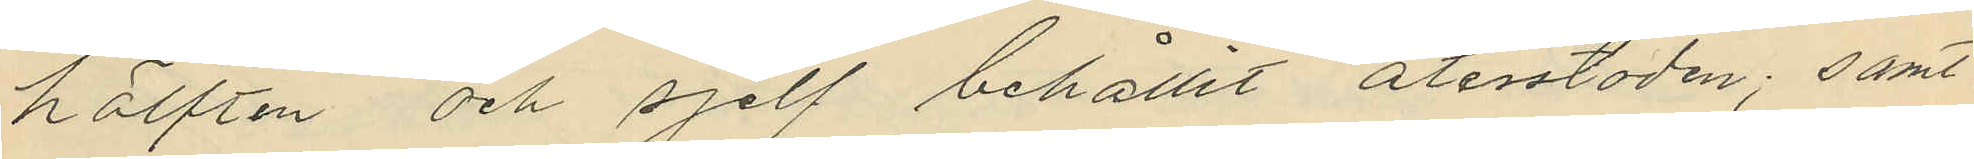hälften och sjelf behållit återstoden; samt
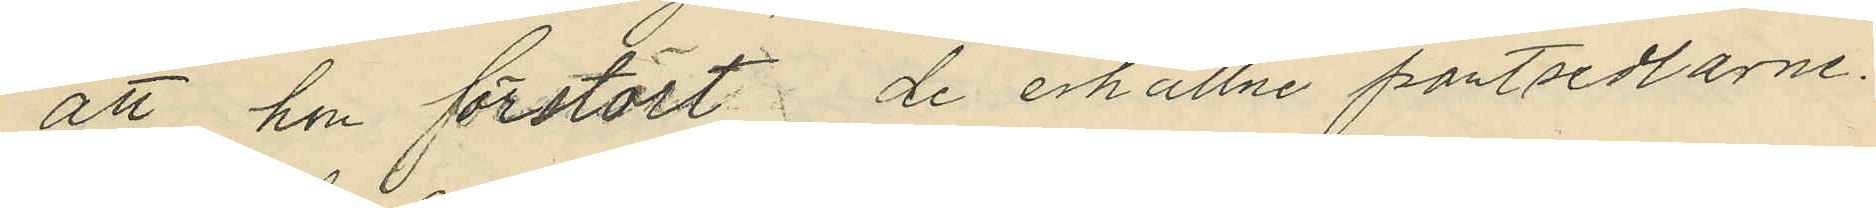att hon förstört de erhållne pantsedlarne
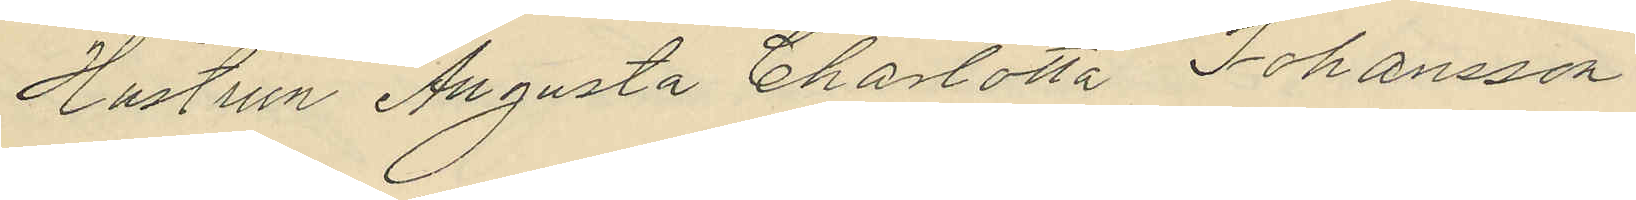Hustrun Augusta Charlotta Johansson
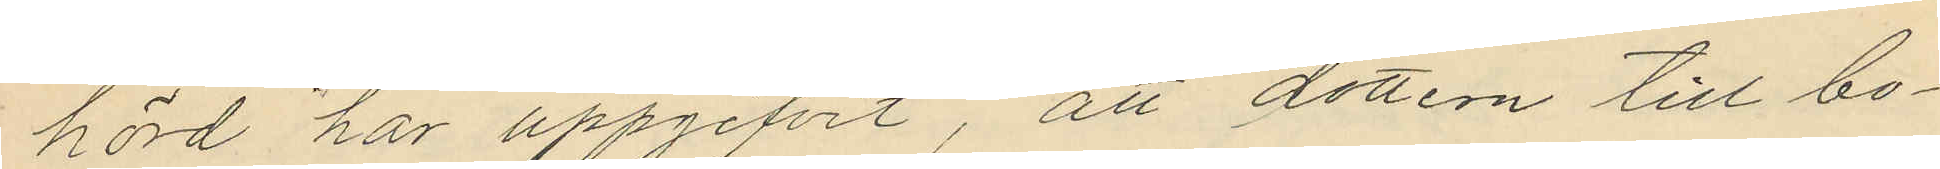hörd har uppgifvit, att dottern till bo¬
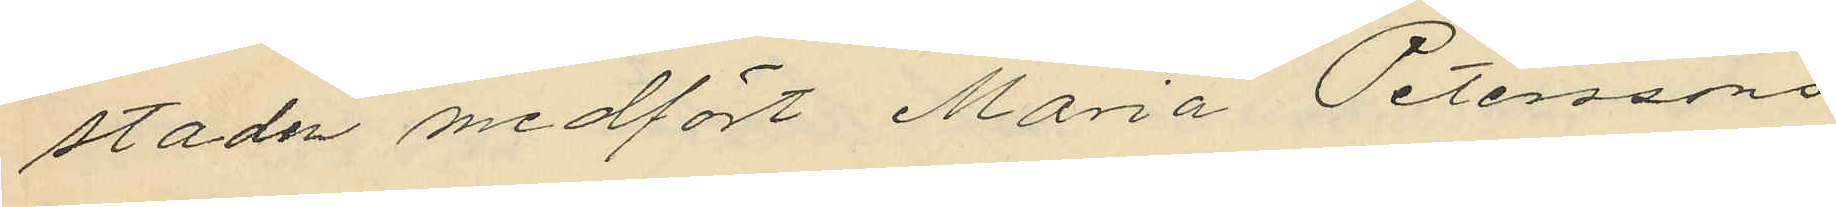staden medfört Maria Peterssons
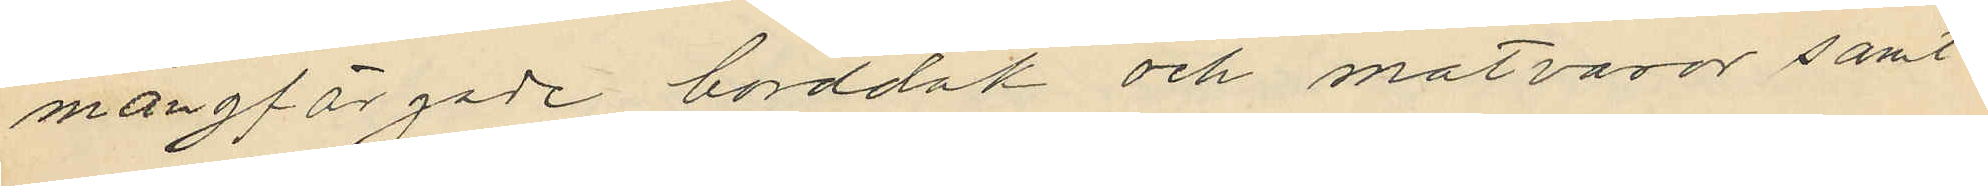mångfärgade bordduk och matvaror samt
